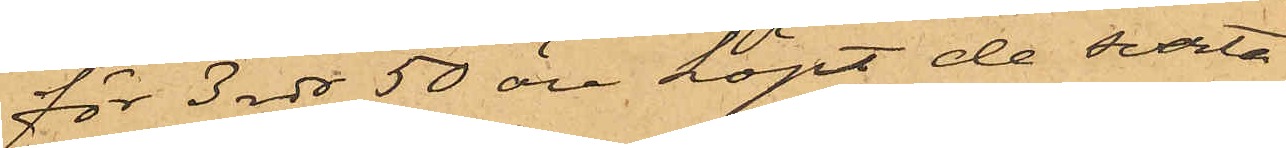för 3 rdr 50 öre köpt de svarta
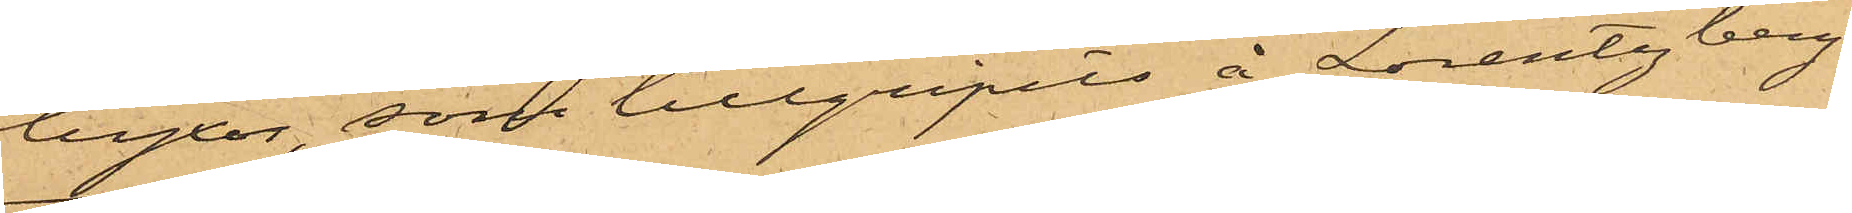byxor, som tillgripits å Lorentzberg.
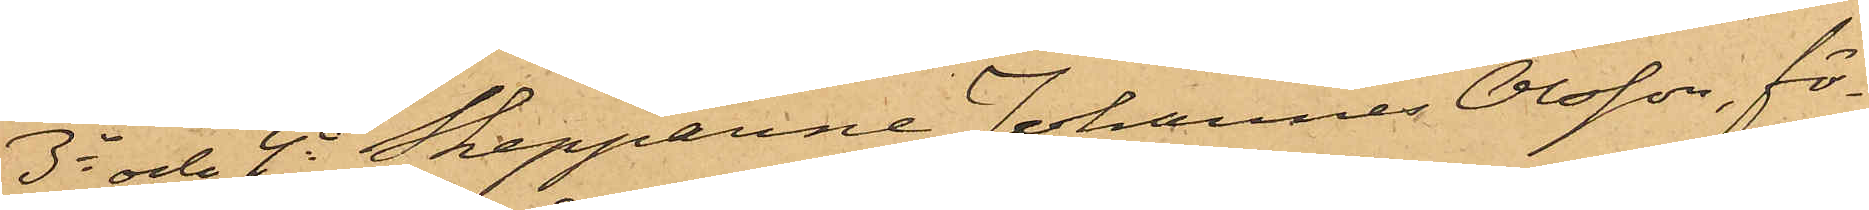3o och 4o Skepparne Johannes Olsson, fö¬
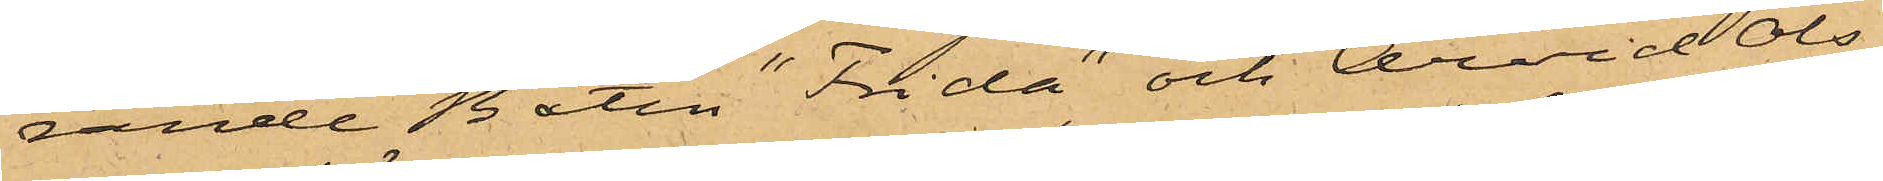rande Båten "Frida" och Arvid Ols¬
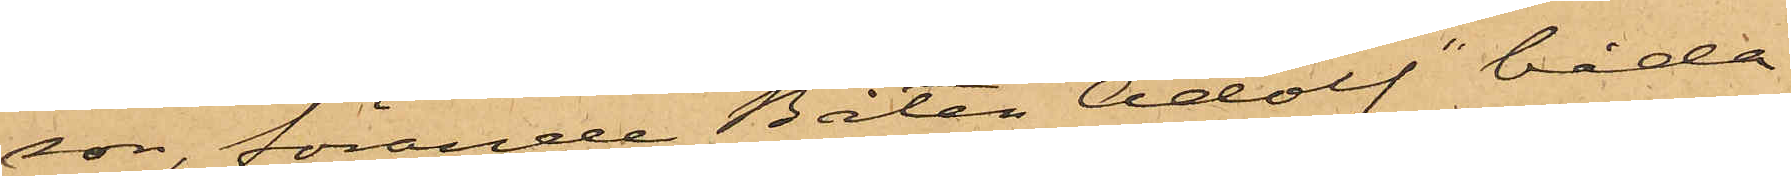son, förande Båten "Adolf" båda
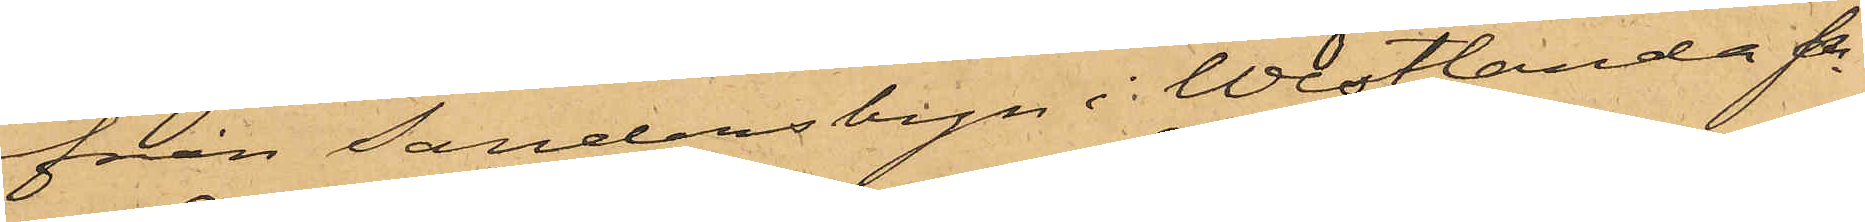från Sandersbyn i Westlanda Sn
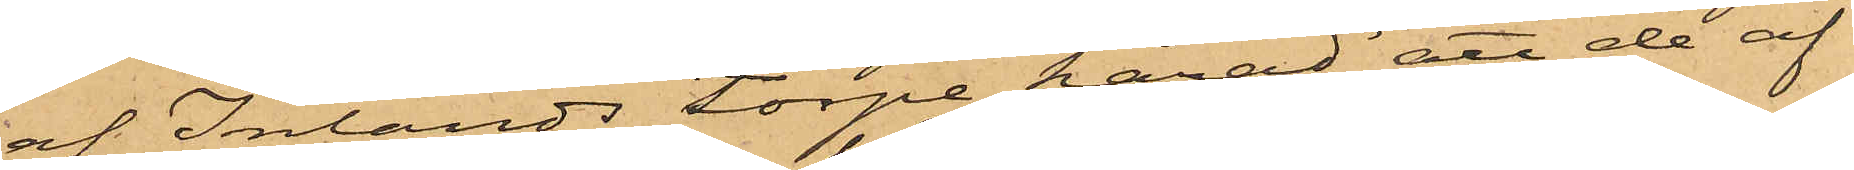af Inlands Torpe härad att de af
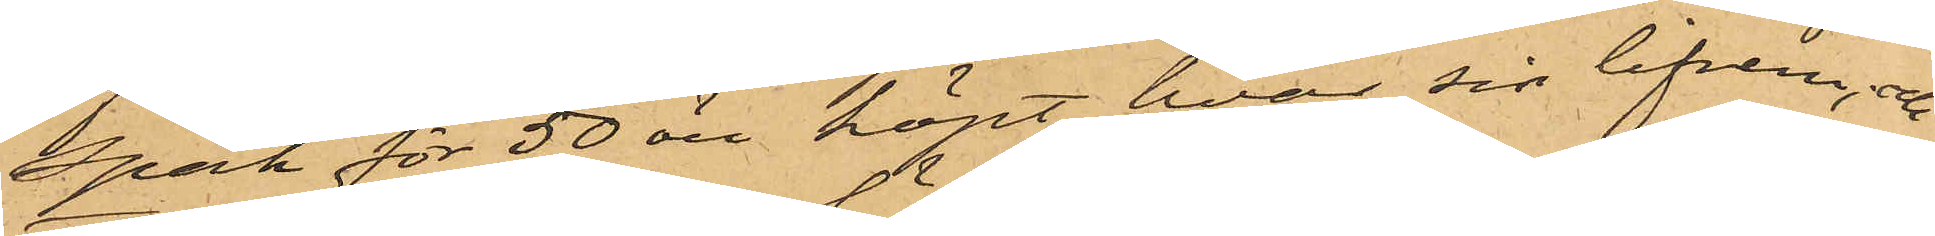Spak för 50 öre köpt hvar sig lifrem, och
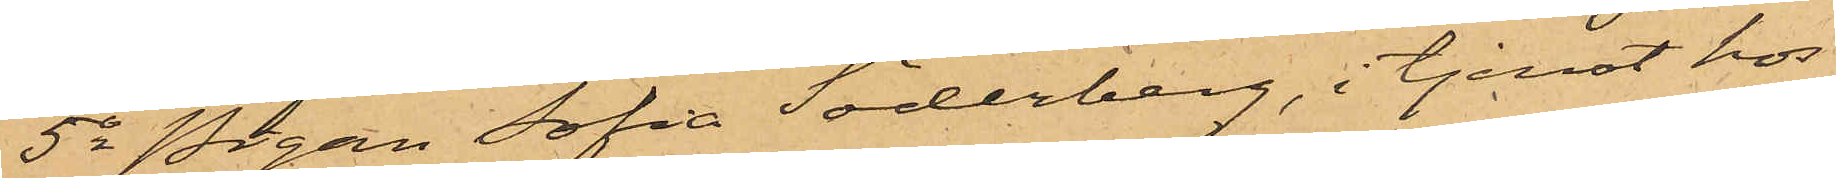5o Pigan Sofia Söderberg, i tjenst hos
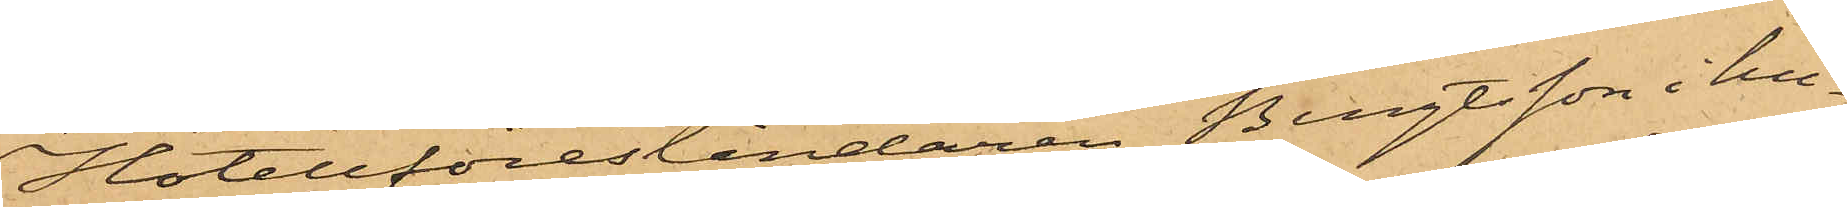Hotellföreståndaren Bengtsson i hu¬
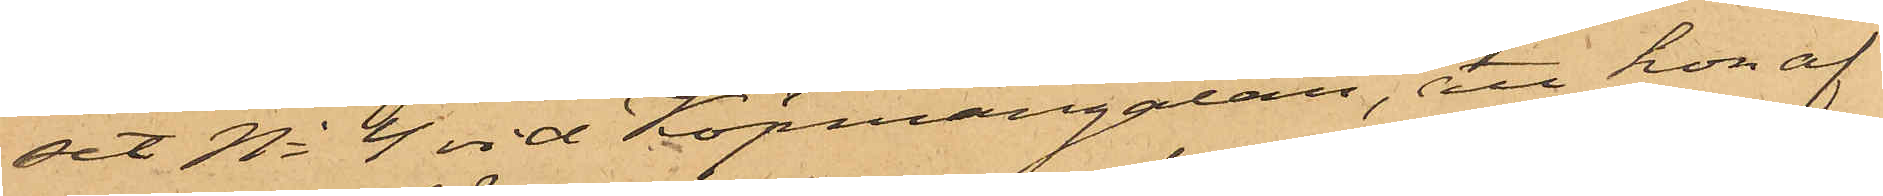set No 4 vid Köpmangatan, att hon af
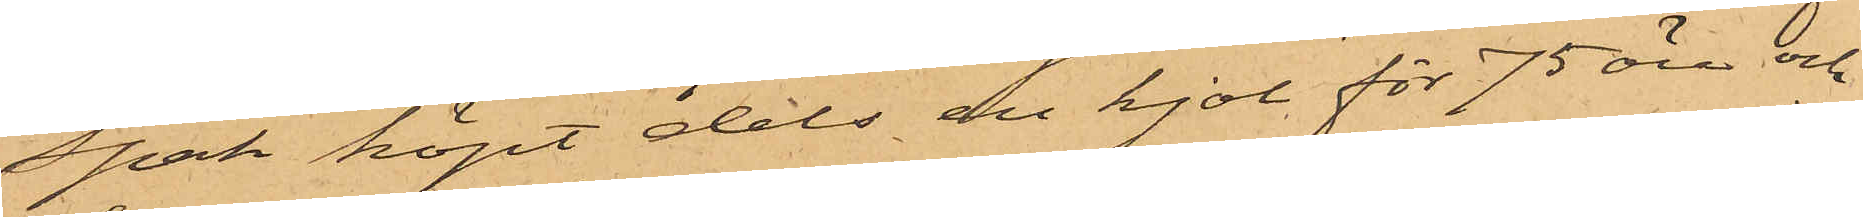Spak köpt dels en kjol för 75 öre och
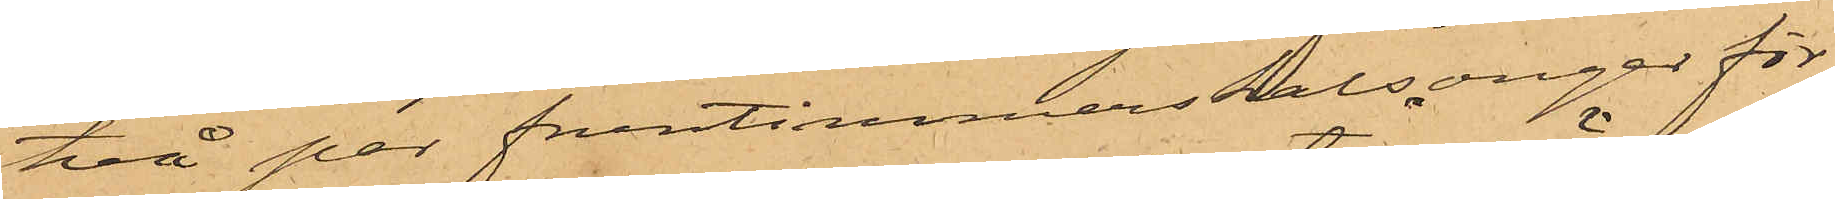två par fruntimmerskalsonger för
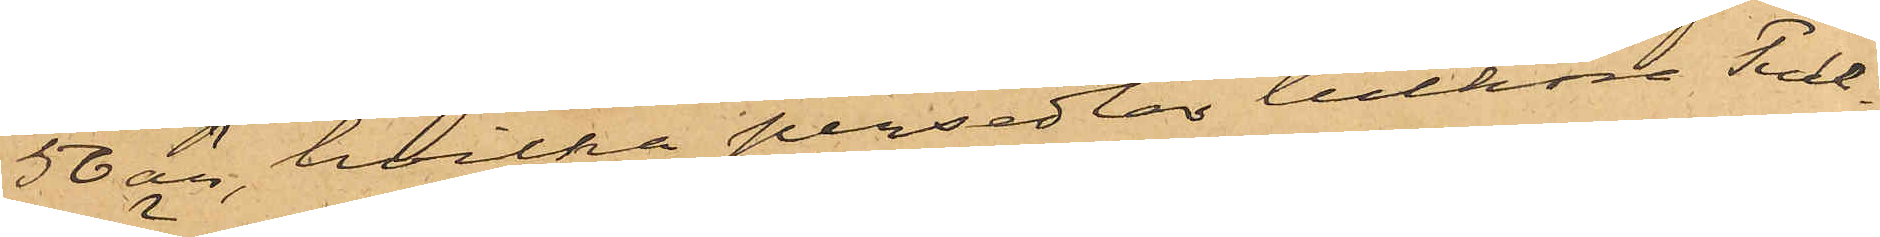50 öre, hvilka persedlar tillhöra Tull¬
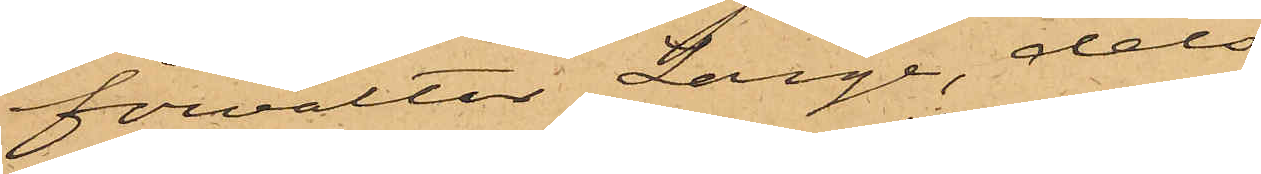förvaltar Lange, dels
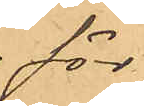för
